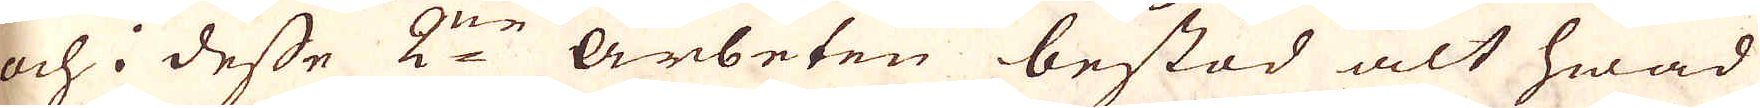och i desse 2:ne Arbeten bestod alt hwad
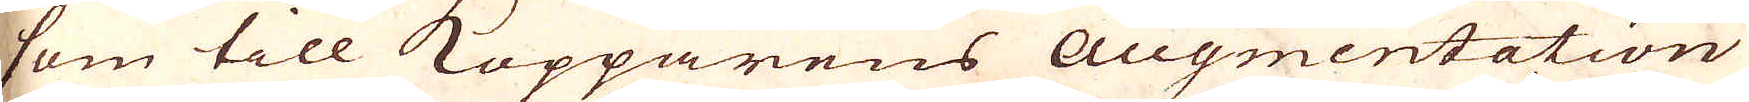som till Kopparens Augmentation
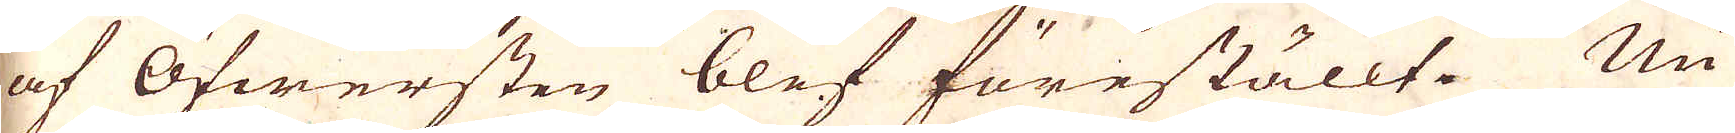af Öfwersten blef föreställt. Nu
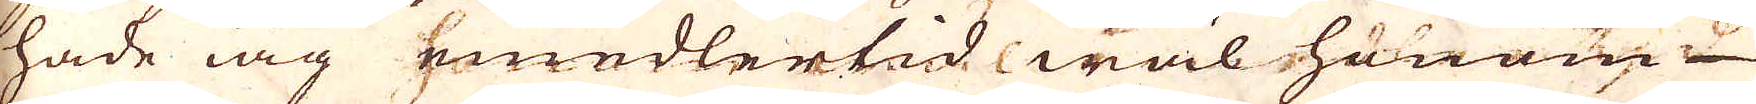hade iag emedlertid wäl honom
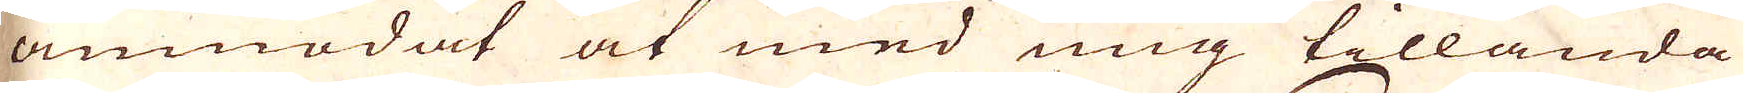anmodat at med mig tillända
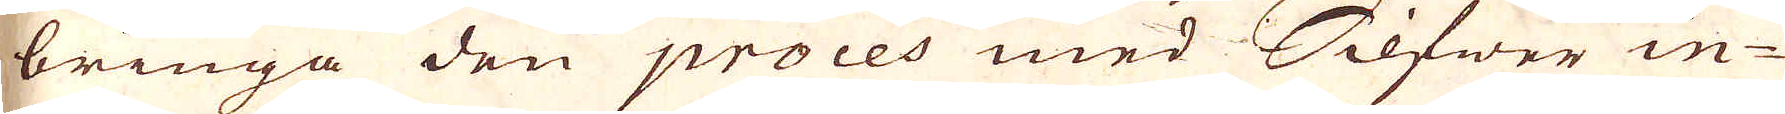bringa den proces med Silfwer in-
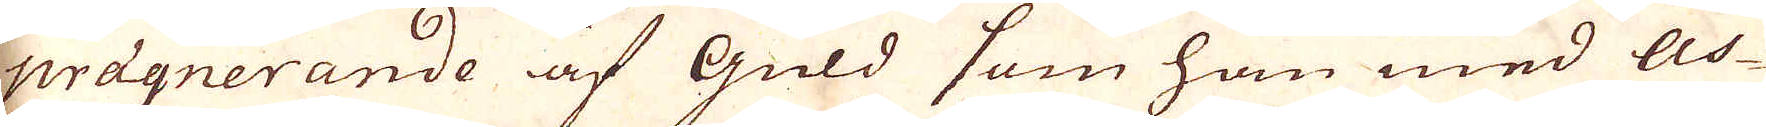prägnerande af Guld som han med As-
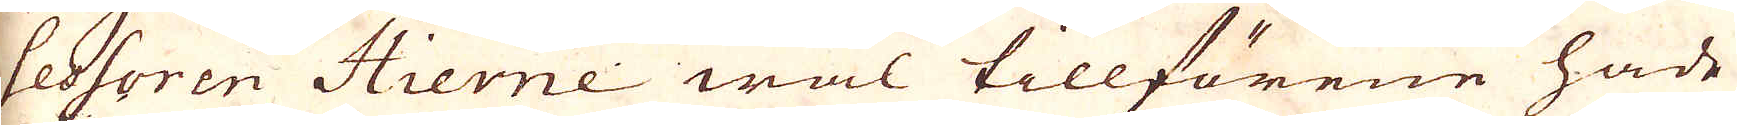sessoren Hierne wäl tillförene hade
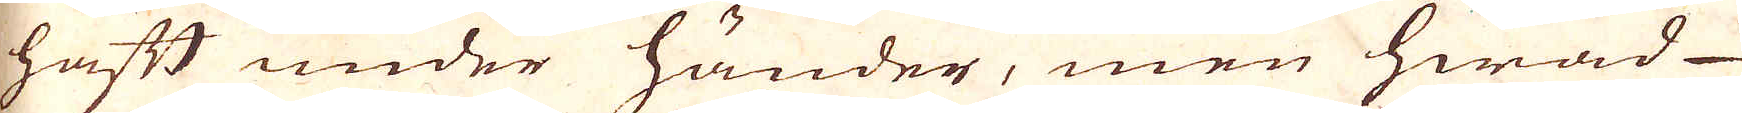haft under händer, men hwad
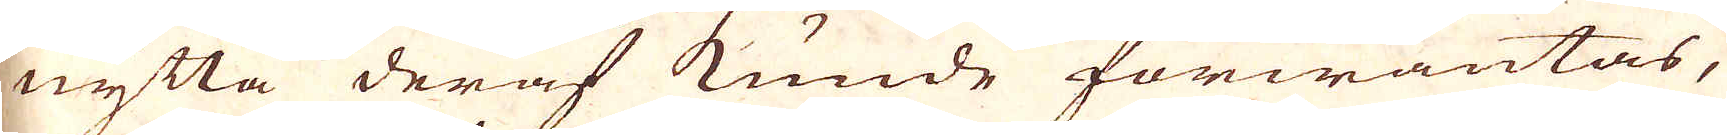nytta deraf kunde förwäntas,
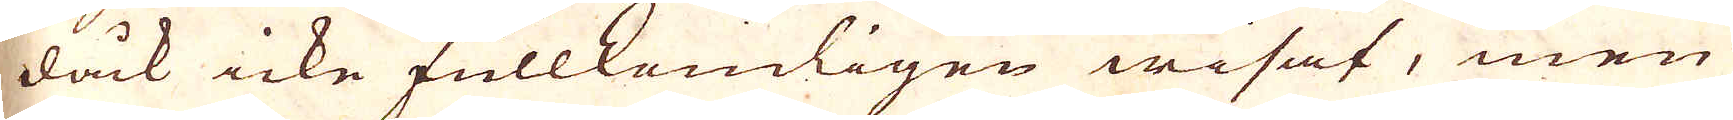dåck icke fullkomligen wisat, men
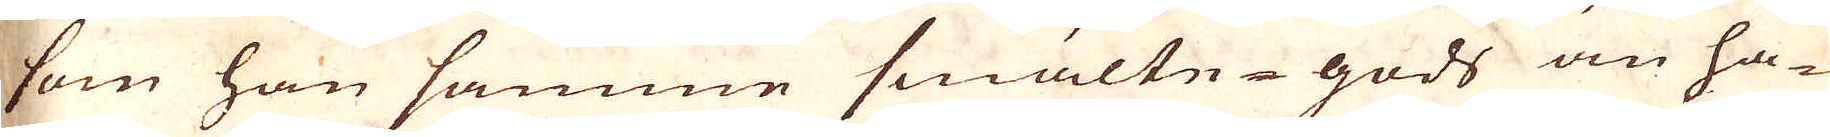som han samme smälte-gods än ha-
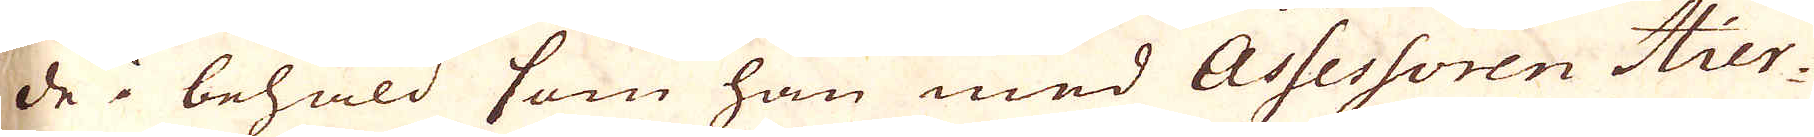de i behåld som han med Assessoren Hier-
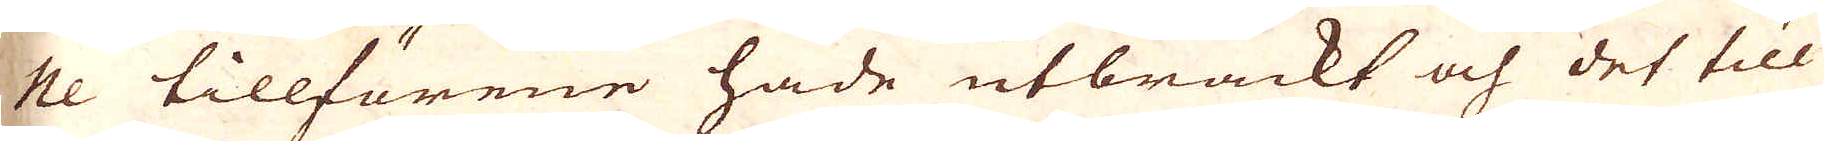ne tillförene hade utbrackt och det till
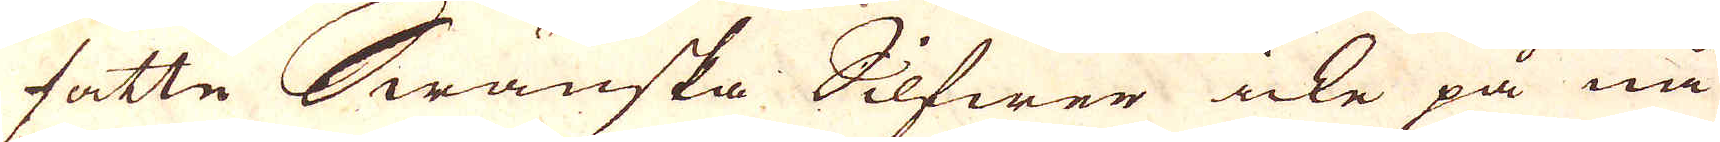satte Swänska Silfwer icke på nå-
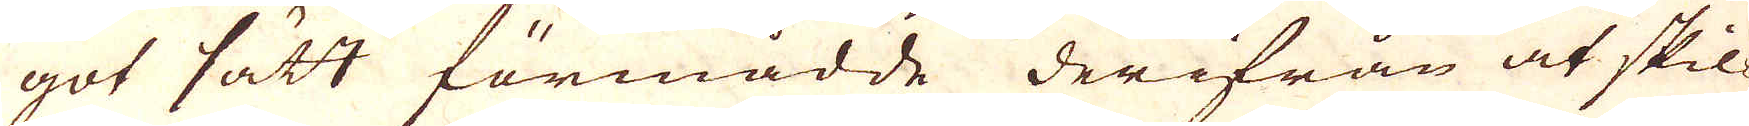got sätt förmådde derifrån at skil-
